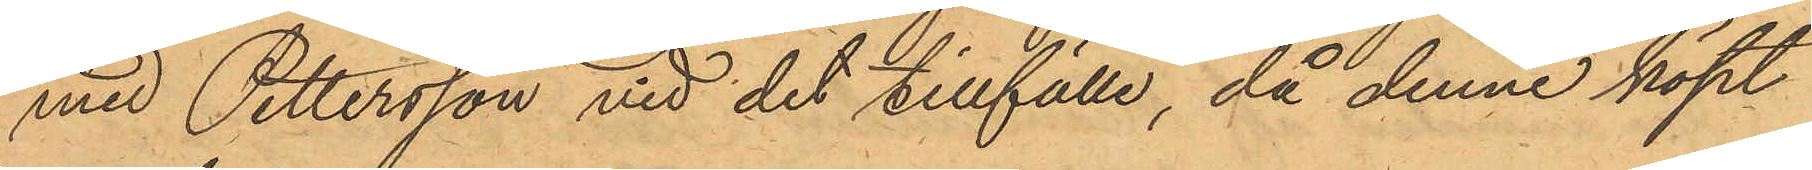med Pettersson vid det tillfälle, då denne köpt
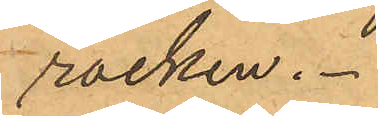rocken.
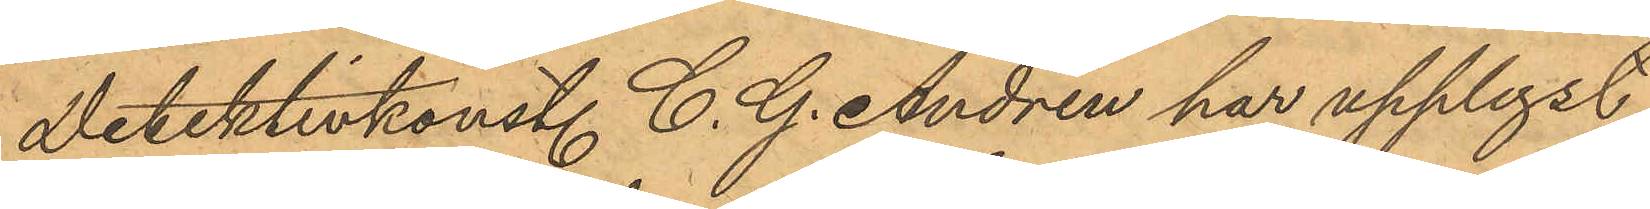Detektivkonst. C. G. Andrén har upplyst
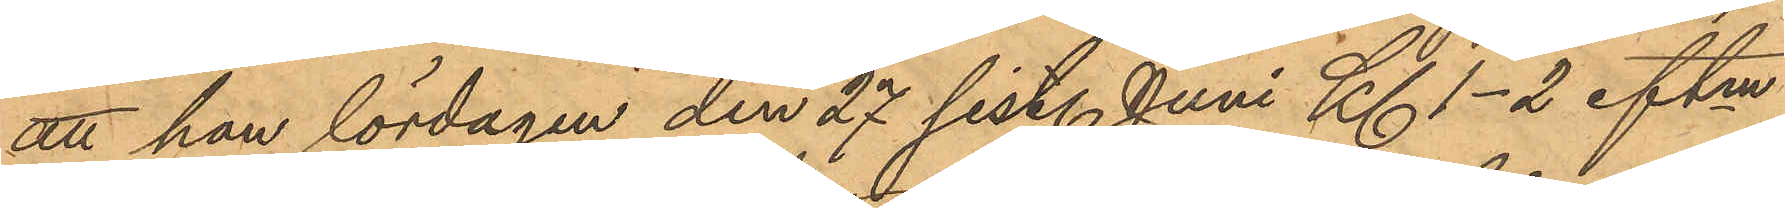att han lördagen den 27 sistl. Juni Kl 1-2 eftm
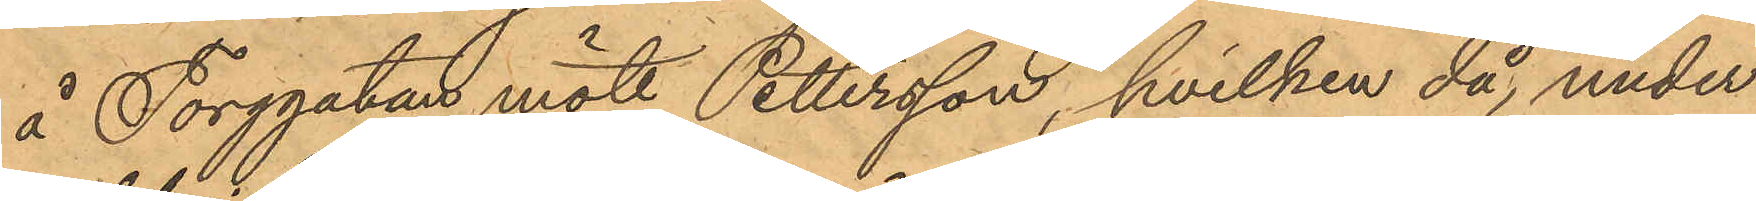å Torggatan mött Pettersson, hvilken då, under
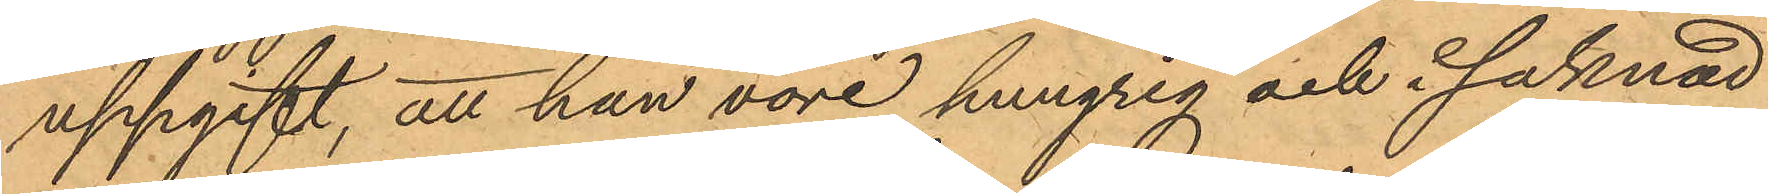uppgift, att han vore hungrig och i saknad
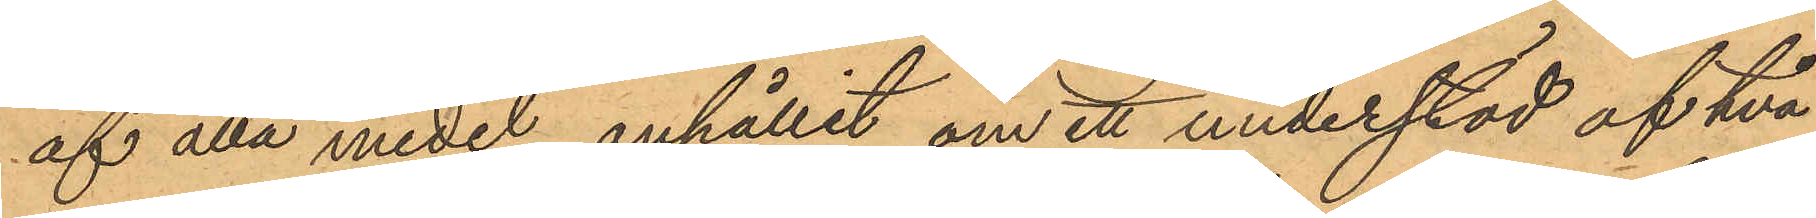af alla medel anhållit om ett understöd af två
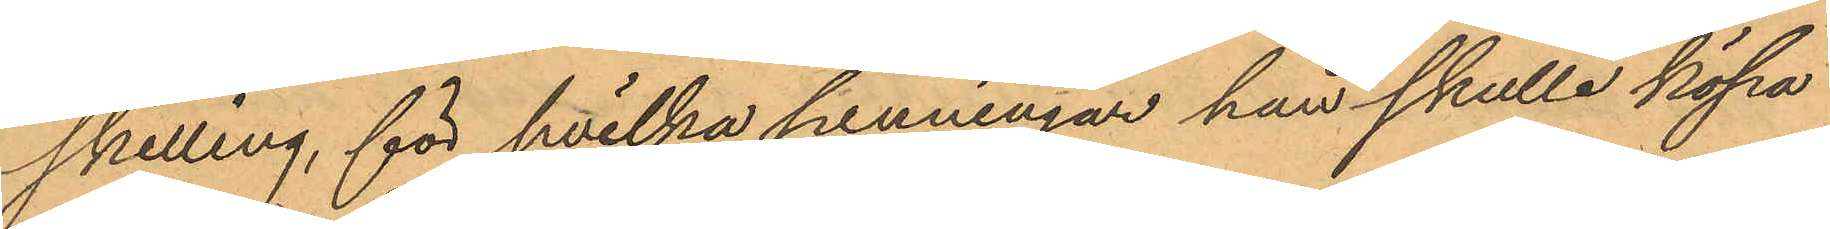skilling, för hvilka penningar han skulle köpa
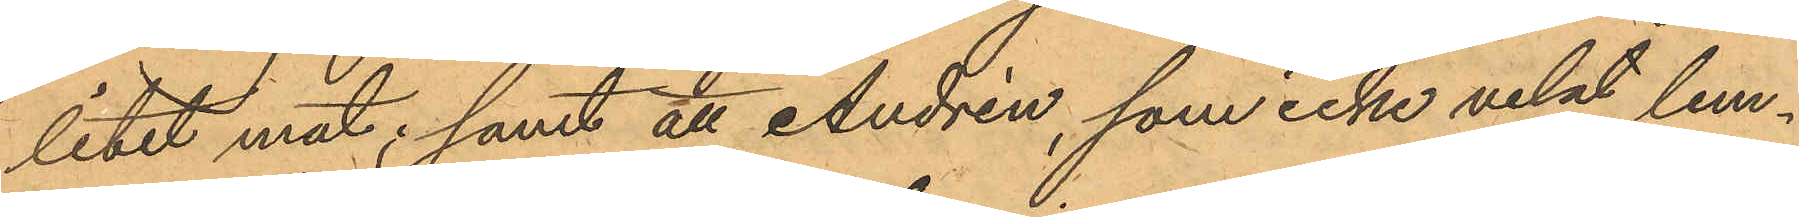litet mat; samt att Andrén, som icke velat lem¬
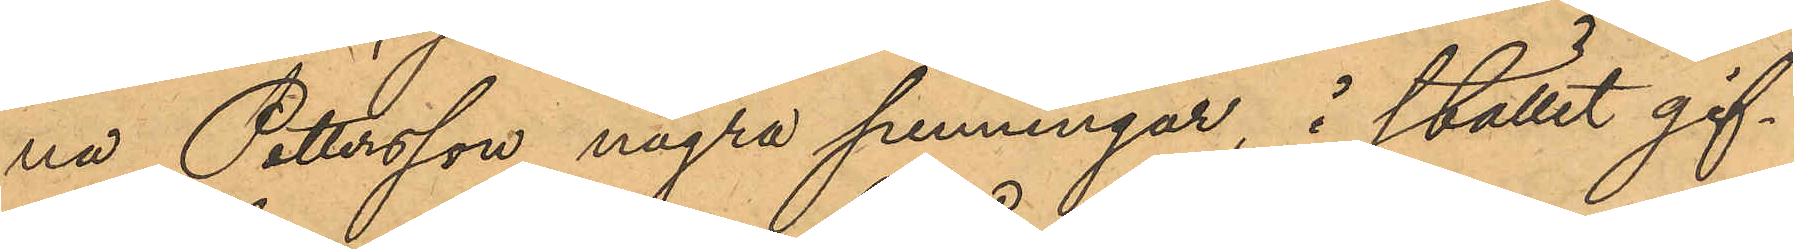na Pettersson några penningar, i stället gif¬
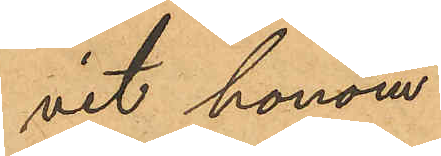vit honom
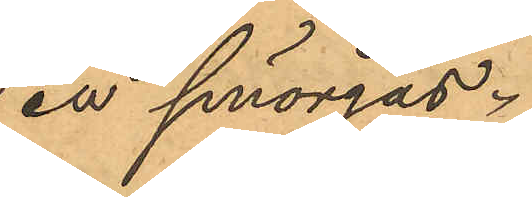en smörgås.
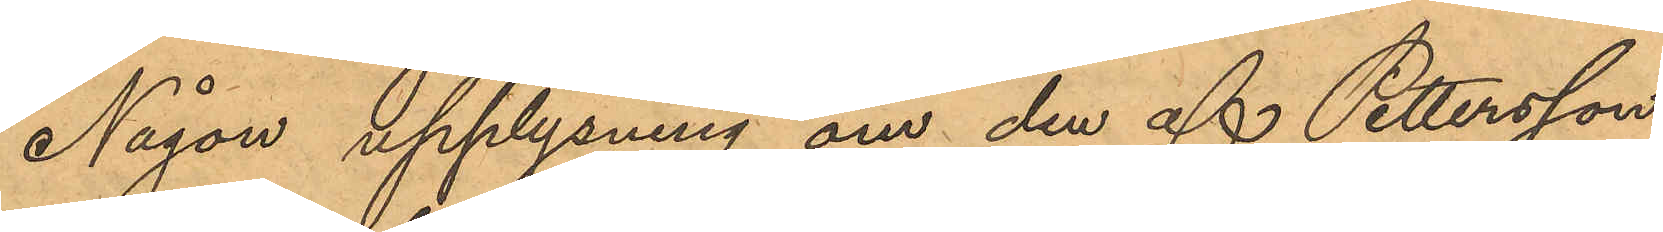Någon upplysning om den af Pettersson
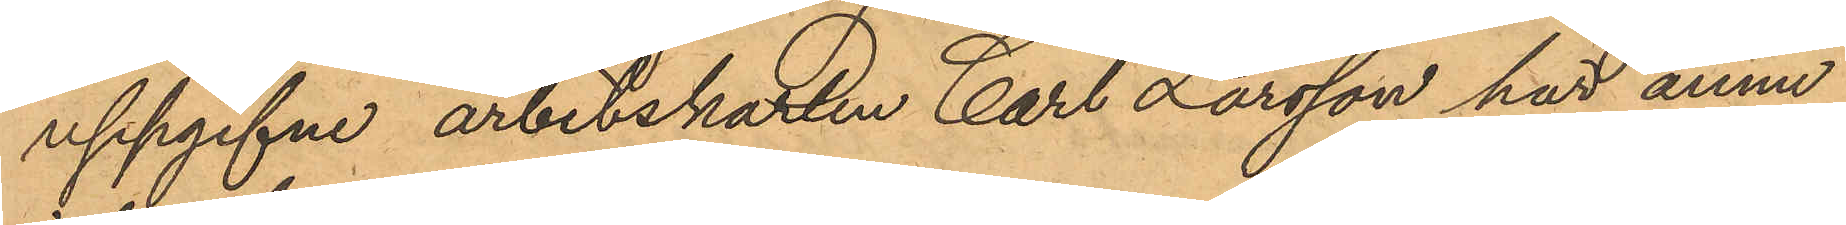uppgifne arbetskarlen Carl Larsson har ännu
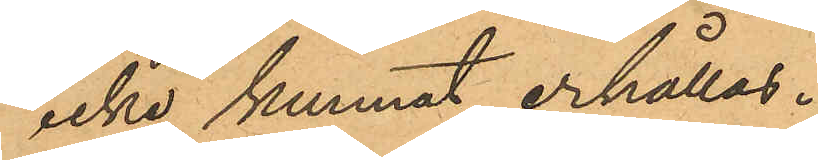icke kunnat erhållas.
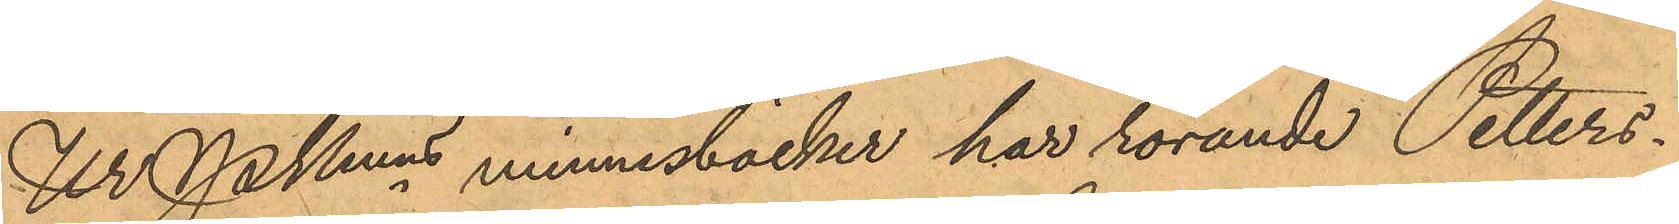Ur Pkmns minnesböcker har rörande Petters¬
